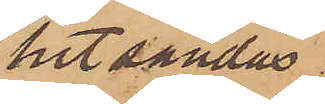hitsändas
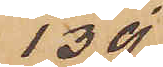139.
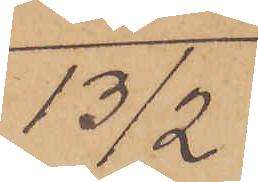13/2
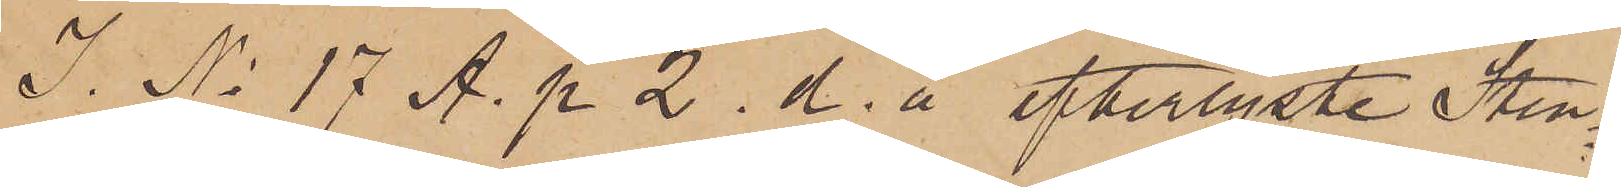I. No 17 A. p. 2. d. å efterlyste Sten¬
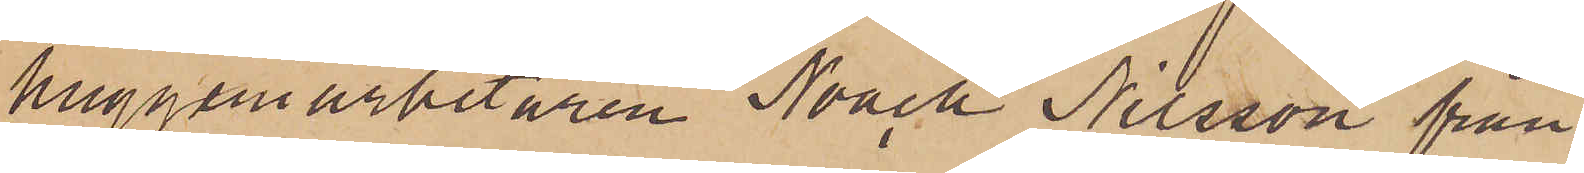huggeriarbetaren Noack Nilsson från
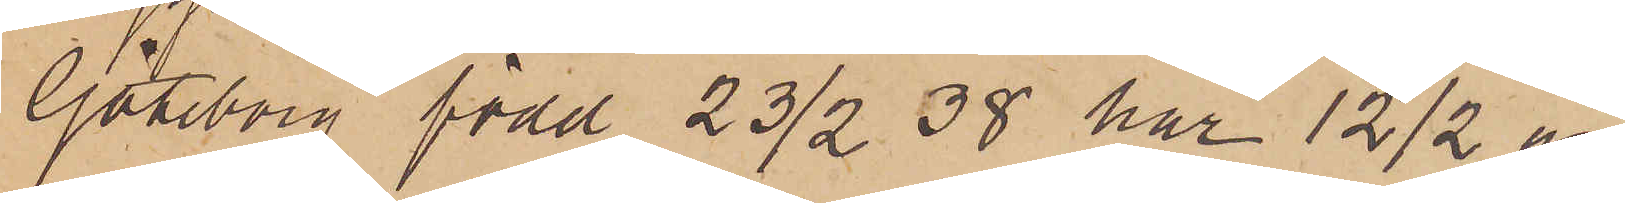Göteborg, född 23/2 38 har 12/2 an¬
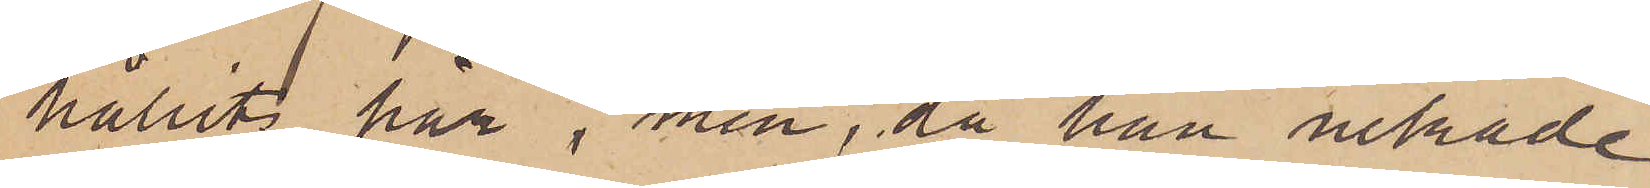hållits här, men, då han nekade
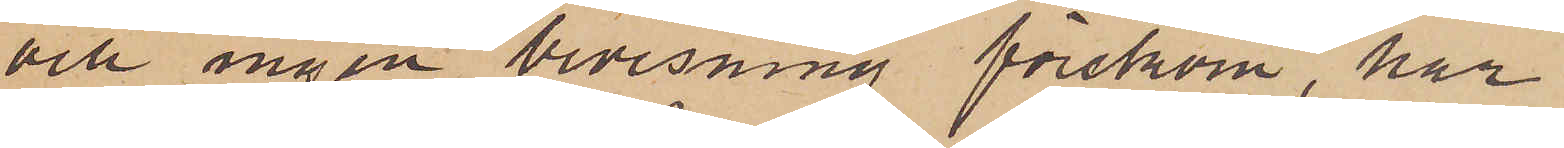och ingen bevisning förekom, har
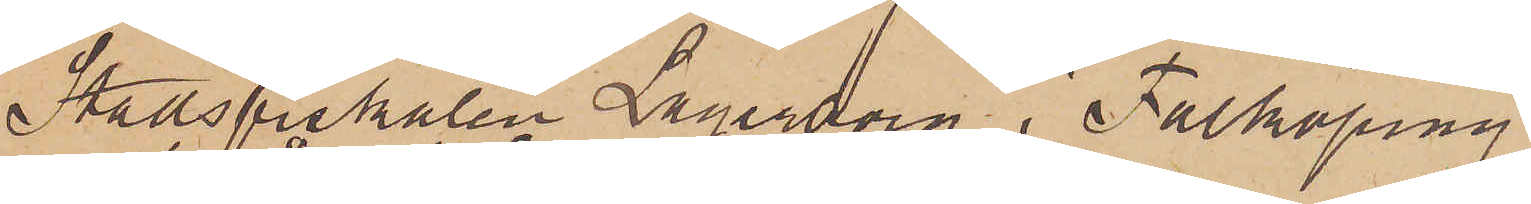Stadsfiskalen Lagerborg i Falköping
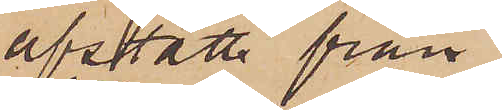afstått från
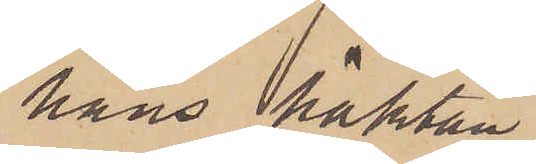hans häktan¬
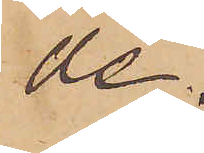de.
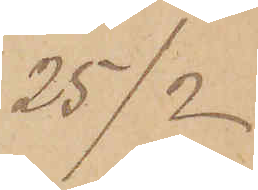25/2
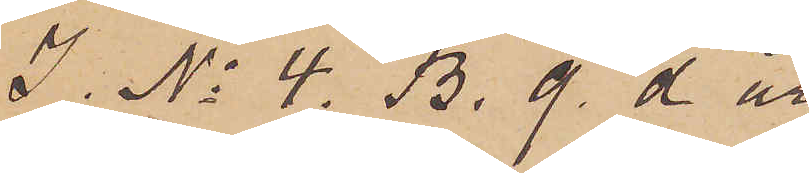I No 4. B. 9. d år
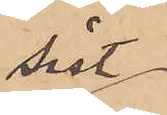sist
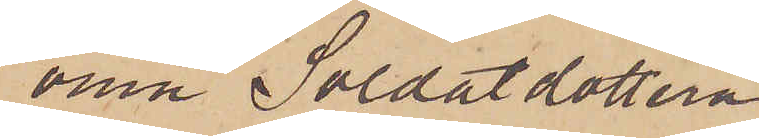omn Soldatdottern
